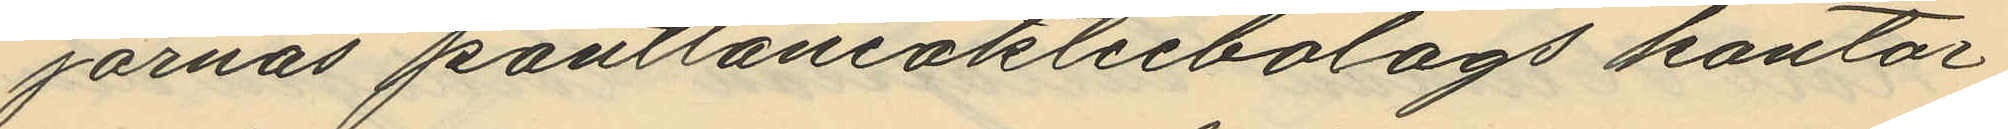jornas pantlåneaktiebolags kontor
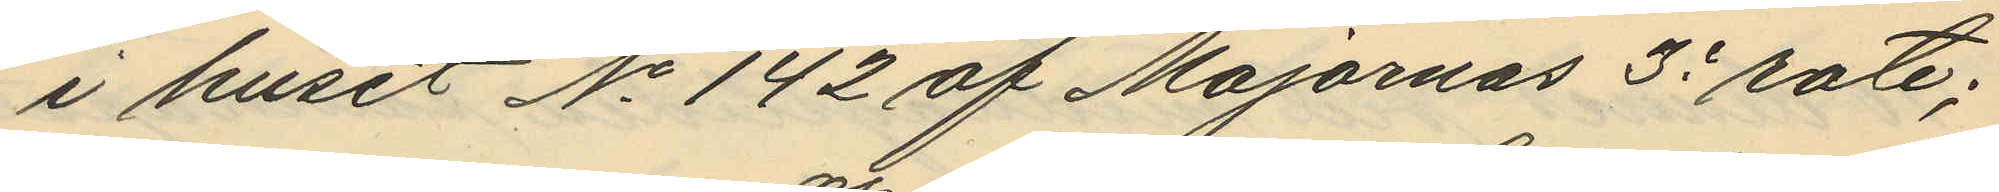i huset No 142 af Majornas 3e rote;
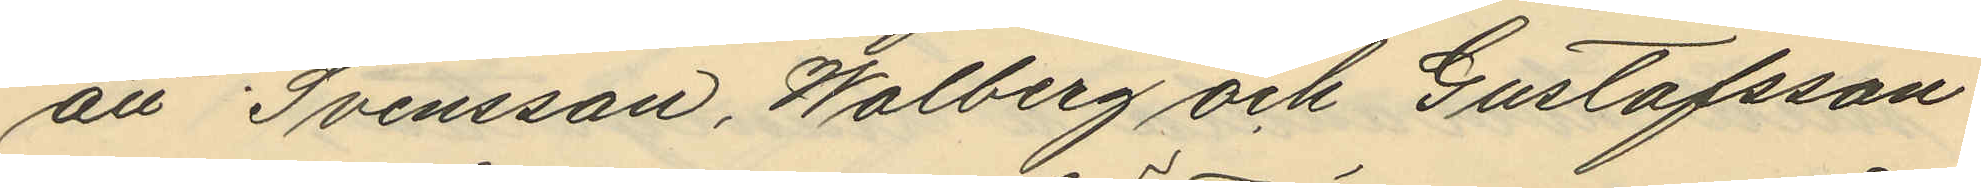att Svensson, Walberg och Gustafsson
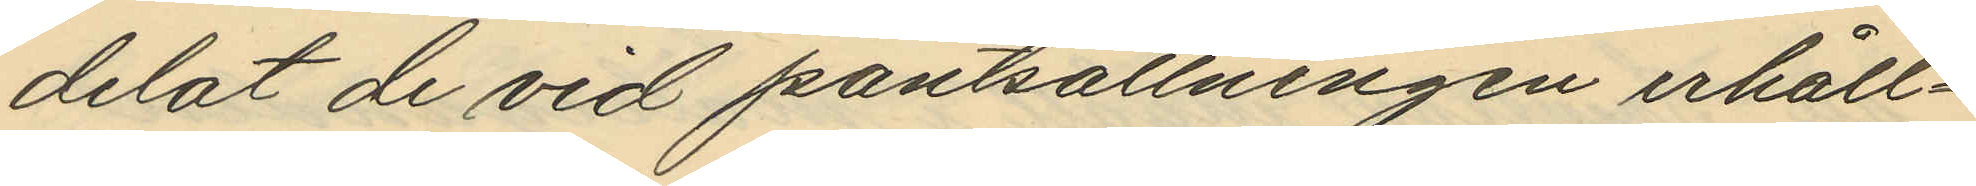delat de vid pantsättningen erhåll¬
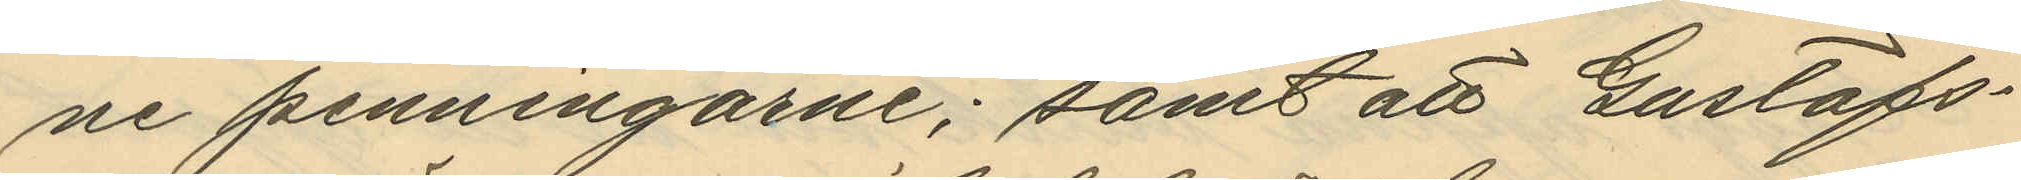ne penningarne; samt att Gustafs¬
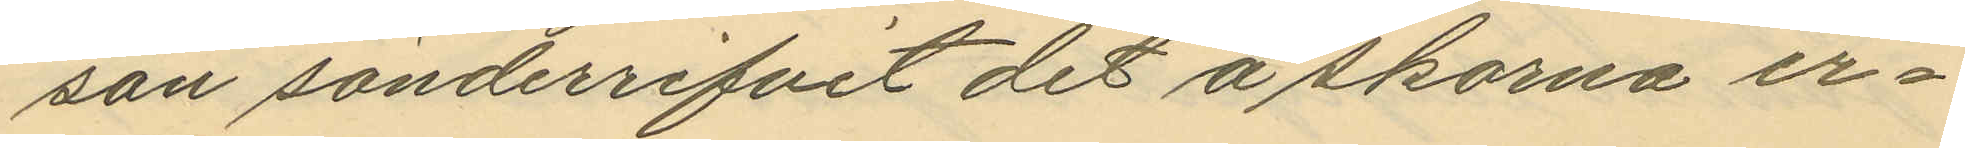son sönderrifvit det å skorna er¬
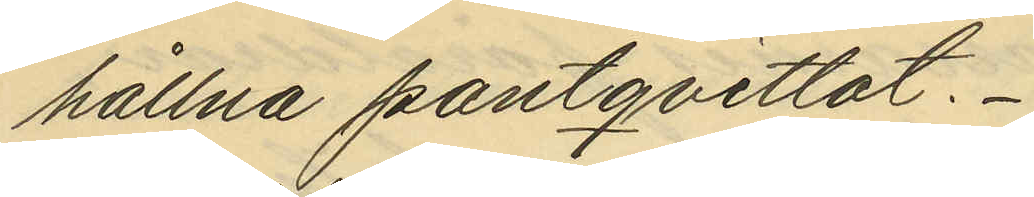hållna pantqvittot.
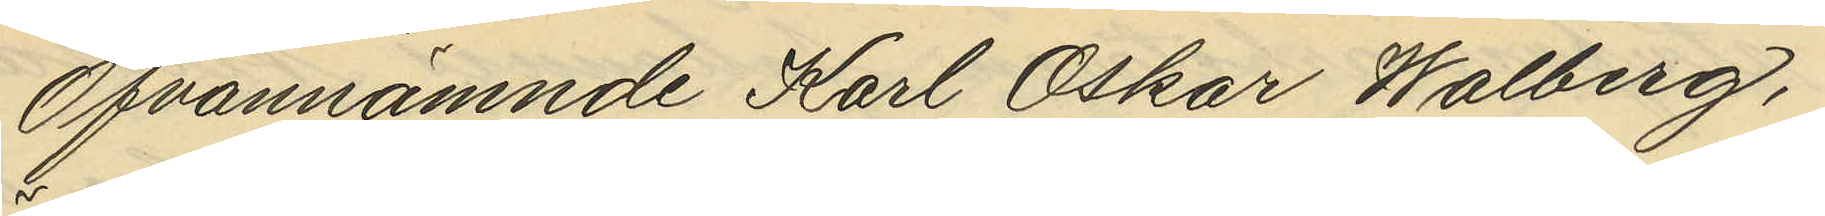Ofvannämnde Karl Oskar Walberg,
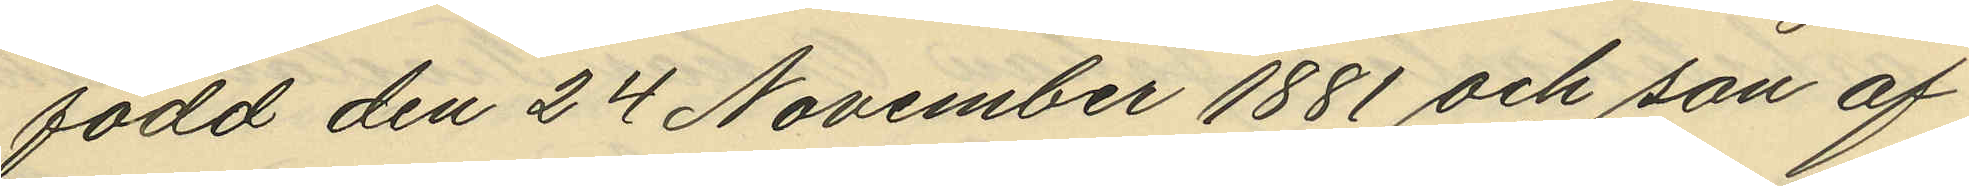född den 24 November 1881 och son af
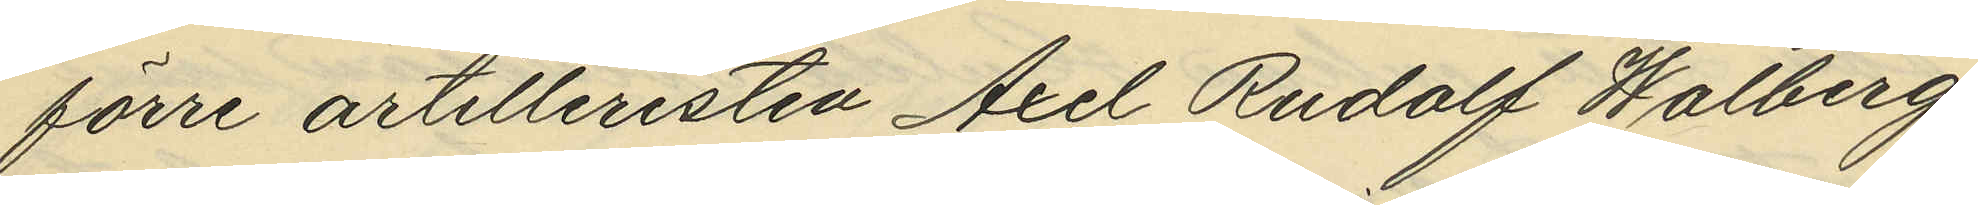förre artilleristen Axel Rudolf Walberg
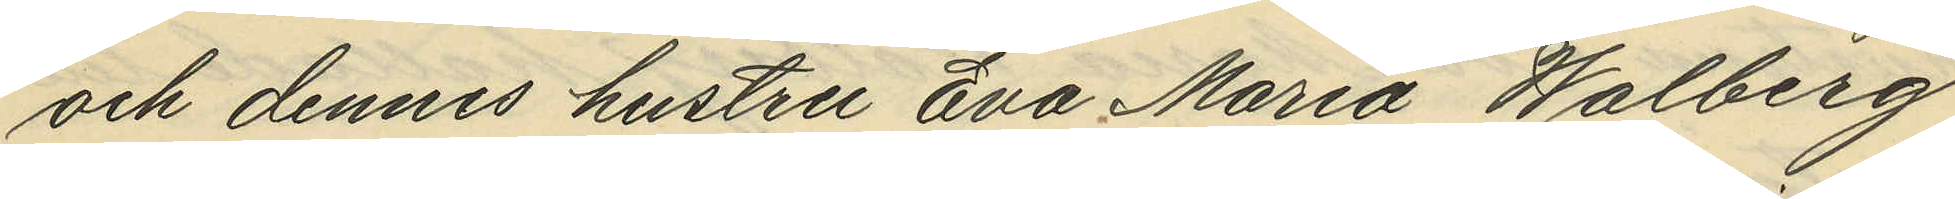och dennes hustru Eva Maria Walberg
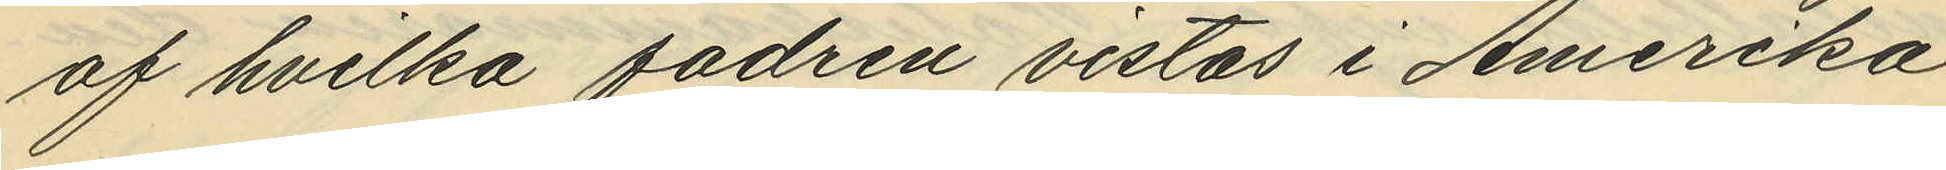af hvilka fadren vistas i Amerika
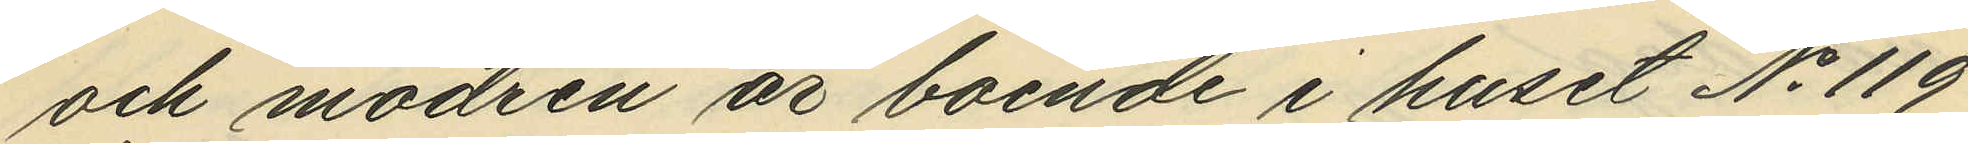och modren är boende i huset No 119
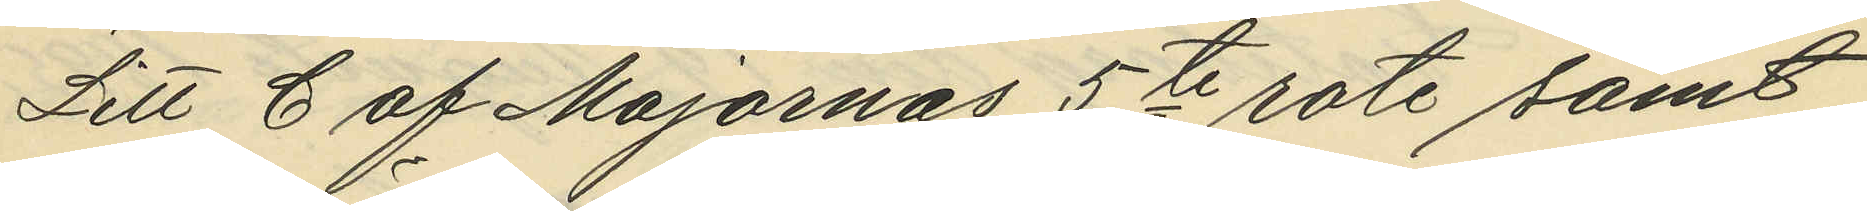Litt C af Majornas 5te rote samt
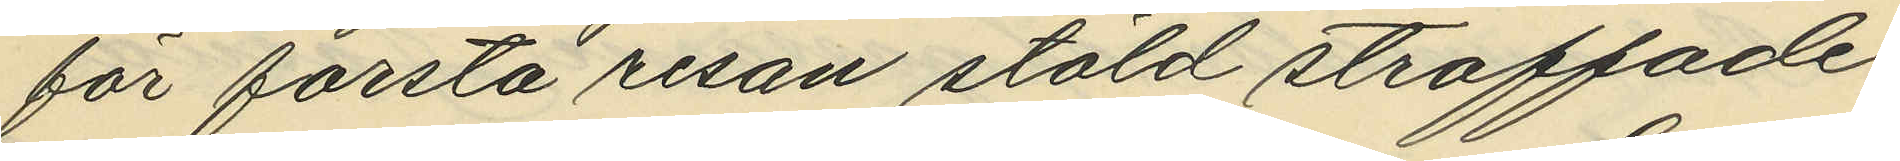för första resan stöld straffade
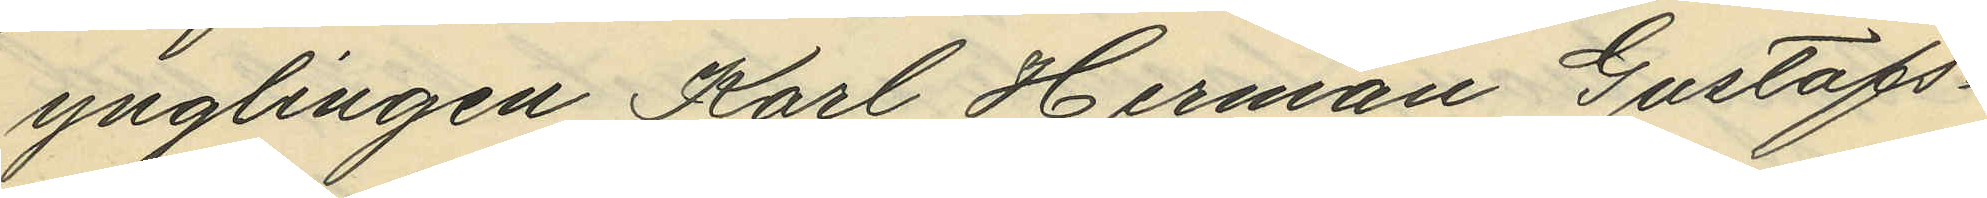ynglingen Karl Herman Gustafs¬
